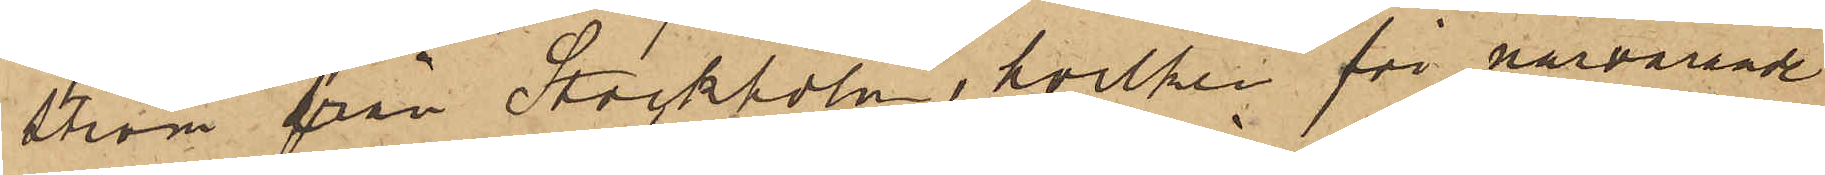ström från Stockholm, hvilken för närvarande
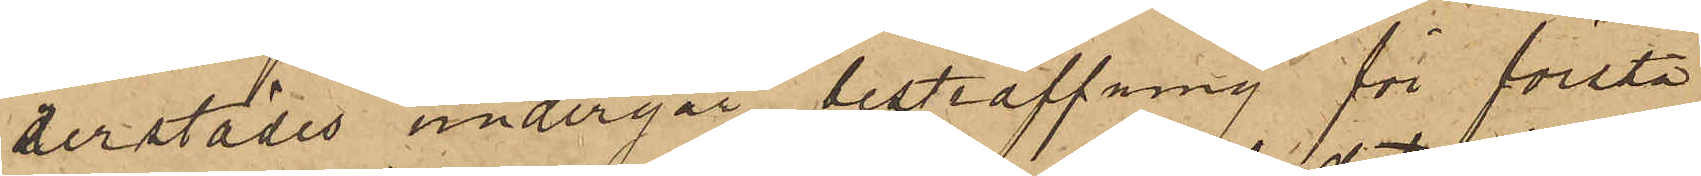derstädes undergår bestraffning för första
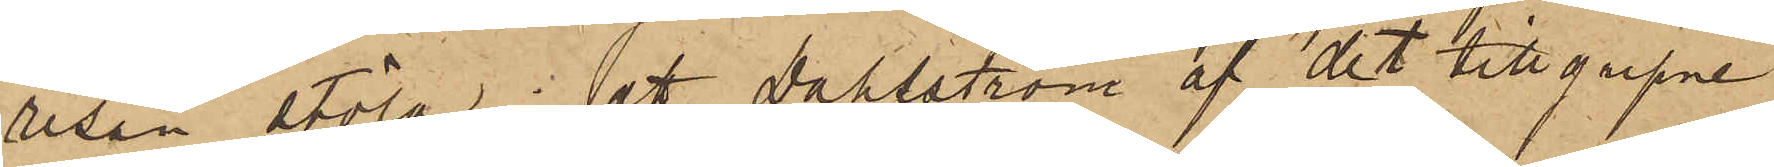resan stöld; att Dahlström af det tillgripne
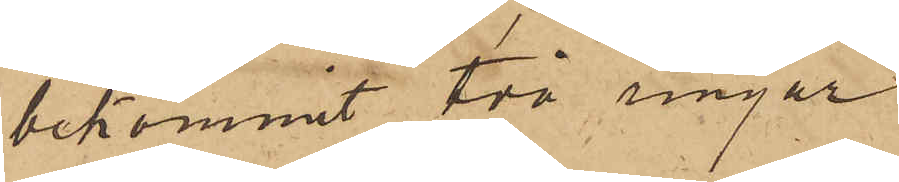bekommit två ringar
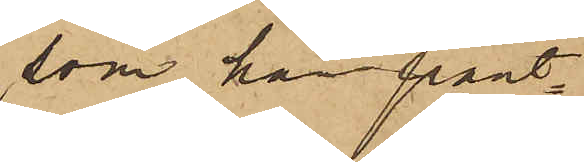som han pant¬
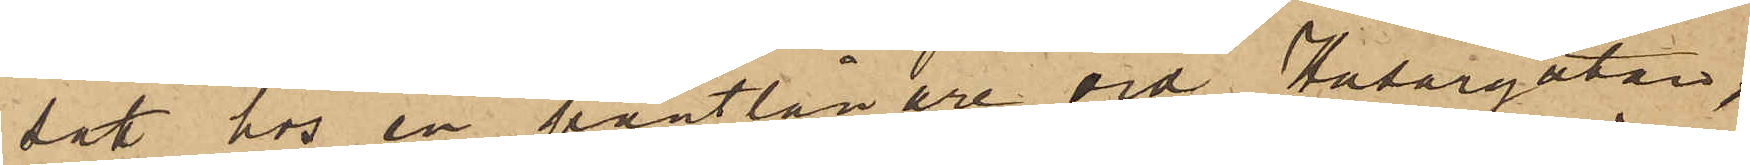satt hos en pantlånare vid Husargatan,
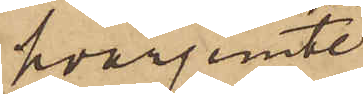hvarjemte
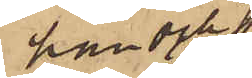han och
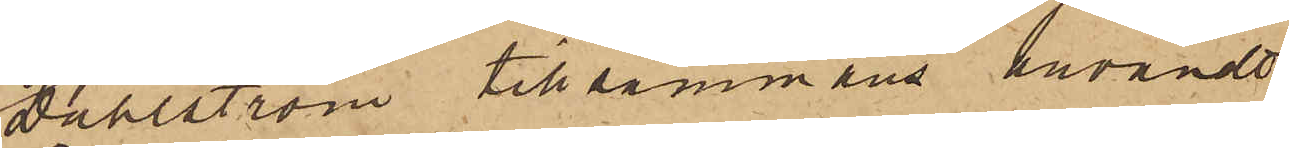Dahlström tillsammans användt
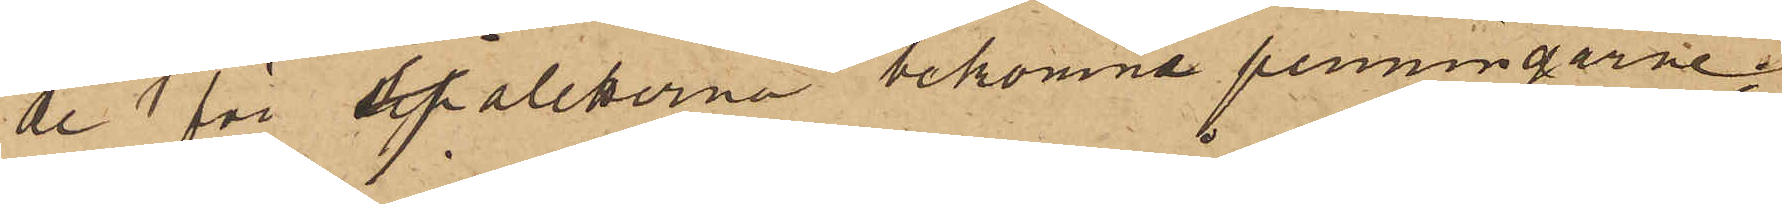de för sjaletterna bekomne penningarne;
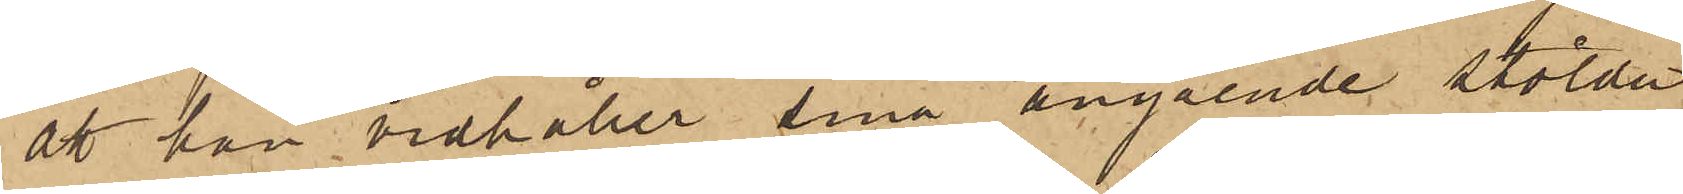att han vidhåller sina angående stölder
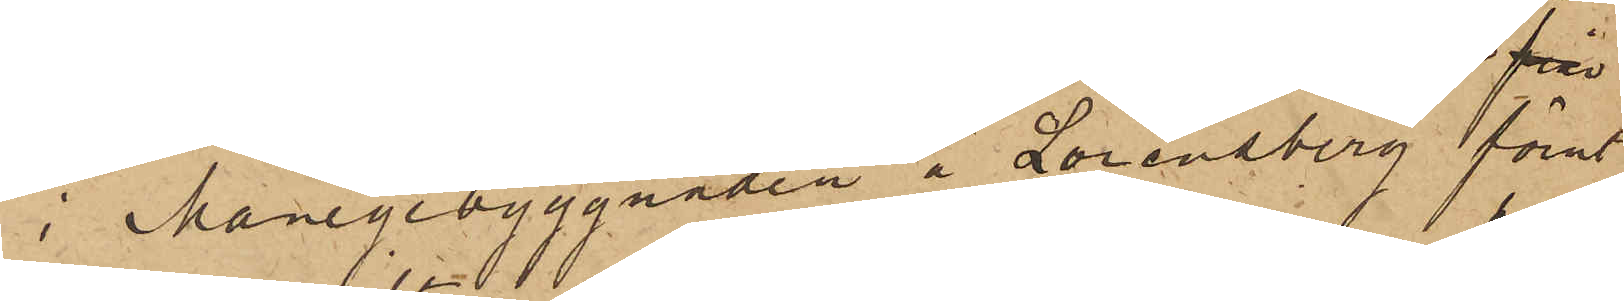i Manegebyggnaden å Lorensberg förut
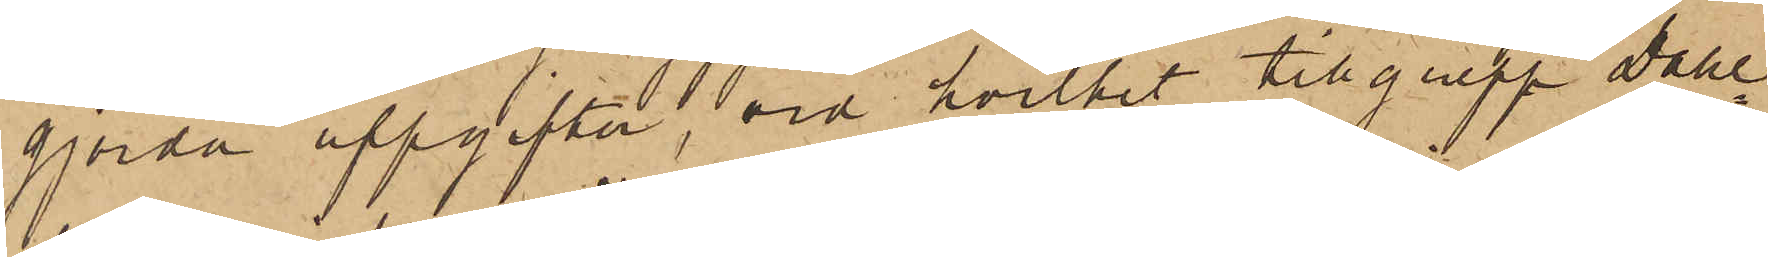gjorda uppgifter; vid hvilket tillgrepp Dahl¬
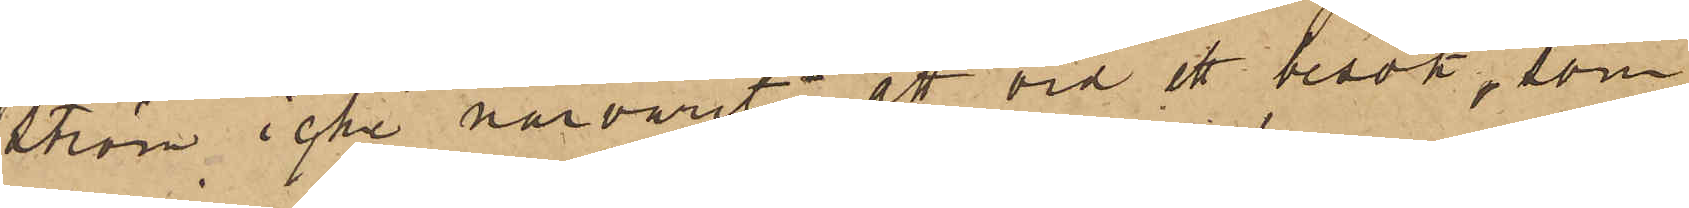ström icke närvarit; att vid ett besök, som
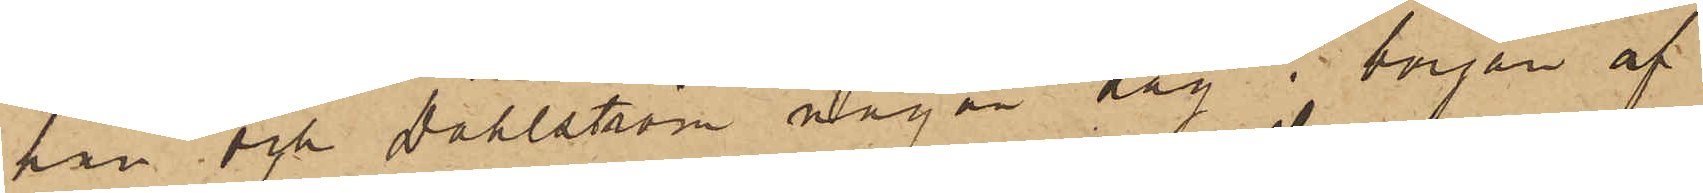han och Dahlström någon dag i början af
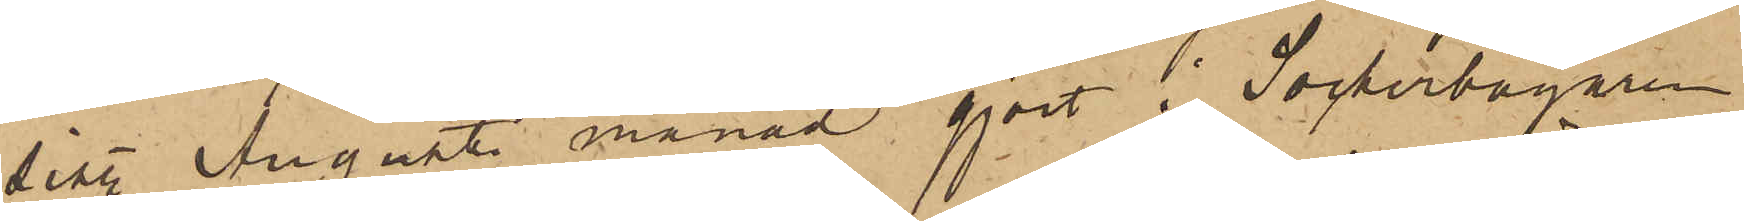sist. Augusti månad gjort i Sockerbagaren
